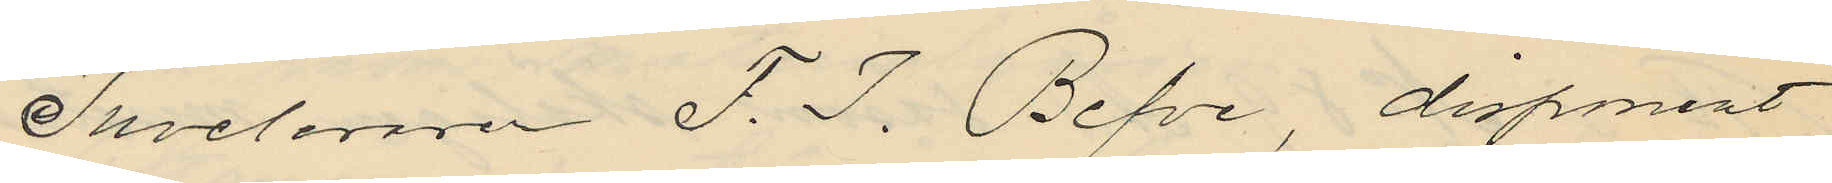Juveleraren F. J. Befve, disponerat
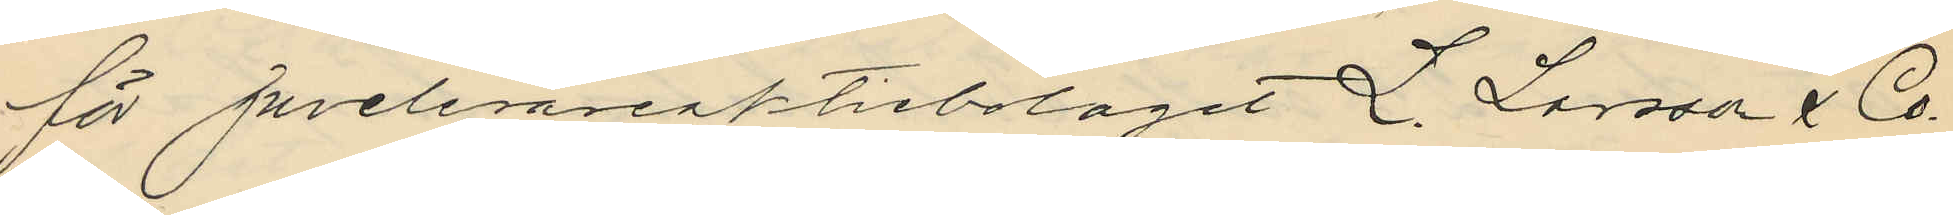för juvelerareaktiebolaget L. Larsson & Co.
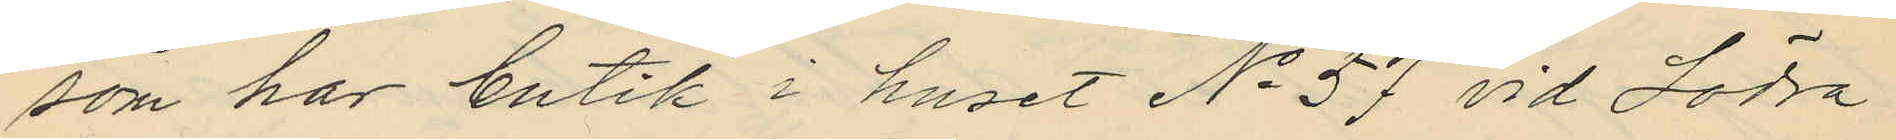som har butik i huset No 57 vid Södra
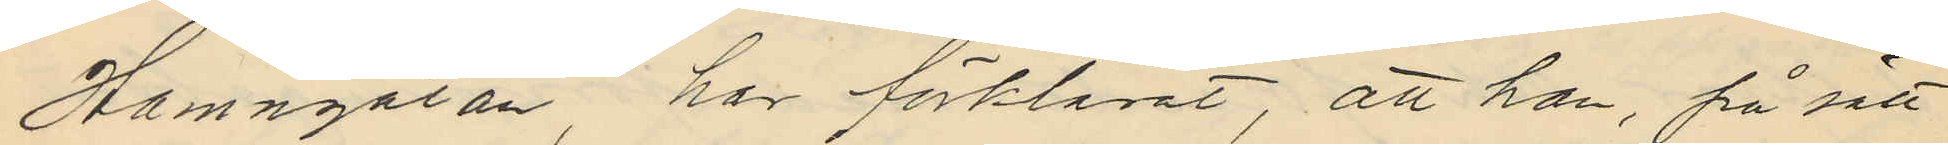Hamngatan, har förklarat, att han, på sätt
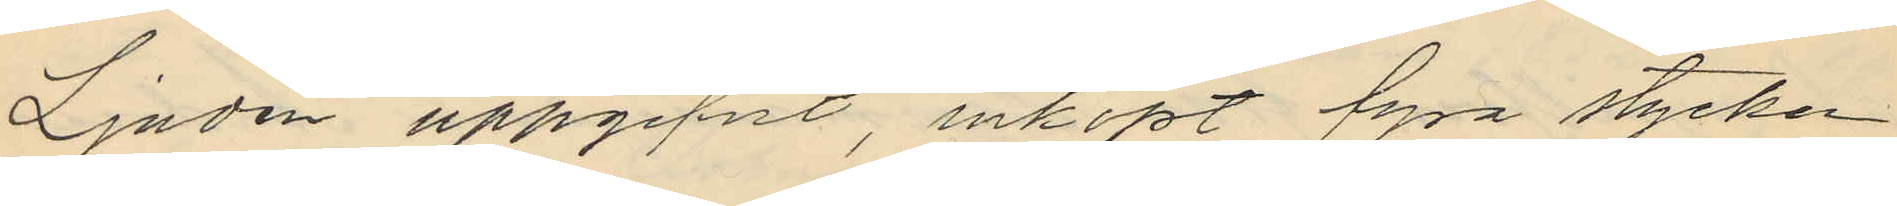Ljudén uppgifvit, inköpt fyra stycken
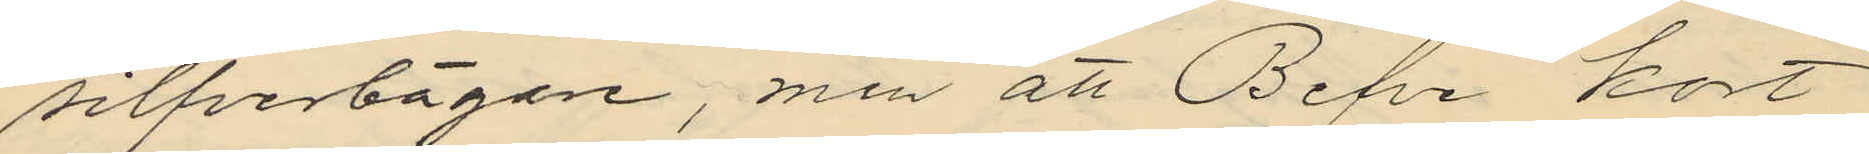silfverbägare, men att Befve kort
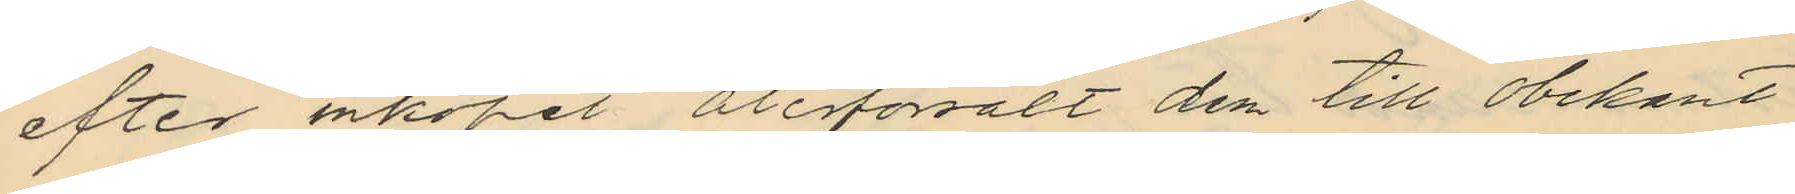efter inköpet återförsålt dem till obekant
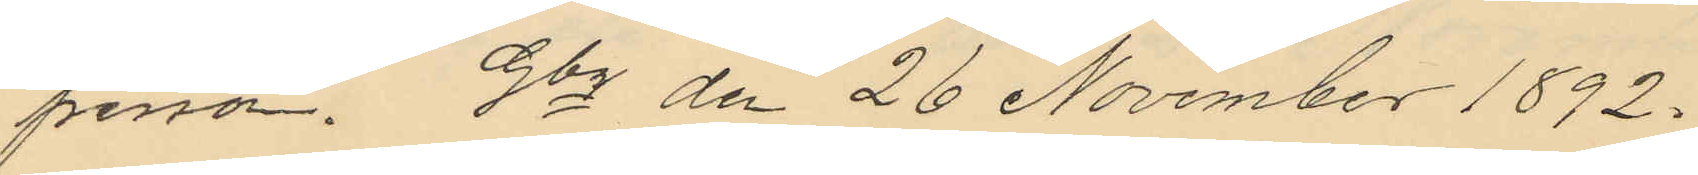person. Gbg den 26 November 1892.
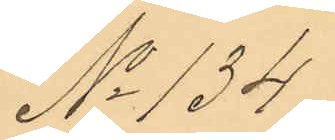No 134.
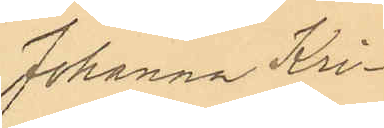Johanna Kri¬
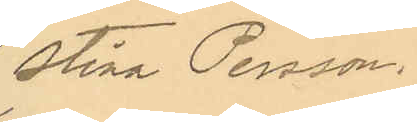stina Persson.
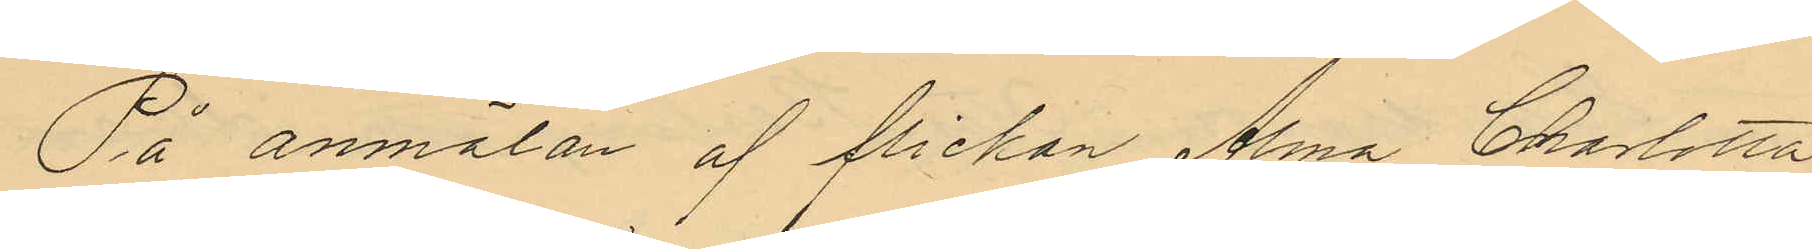På anmälan af flickan Alma Charlotta
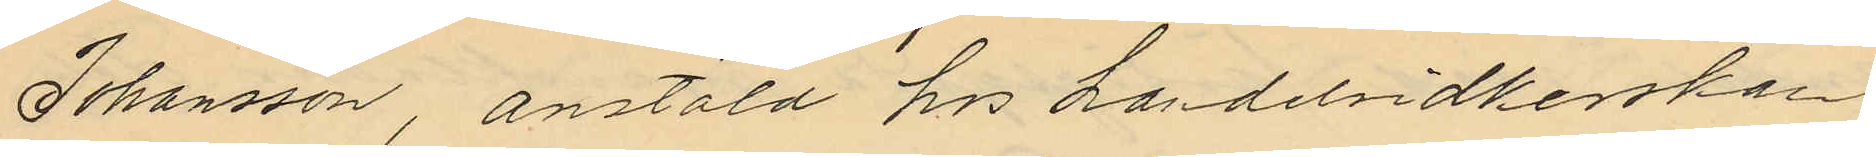Johansson, anstäld hos handelsidkerskan
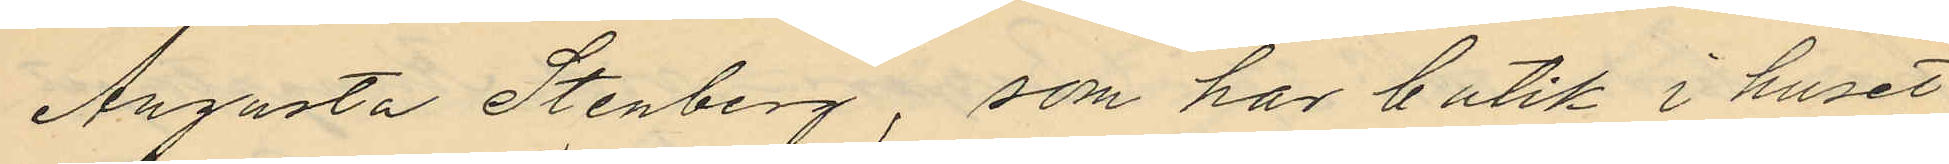Augusta Stenberg, som har butik i huset
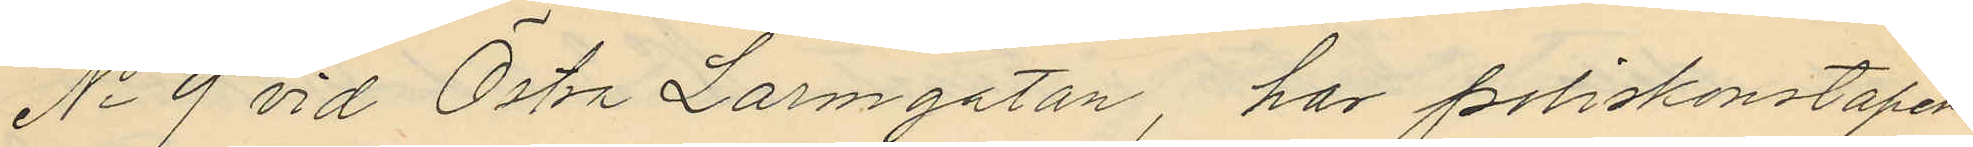No 9 vid Östra Larmgatan, har poliskonstapeln
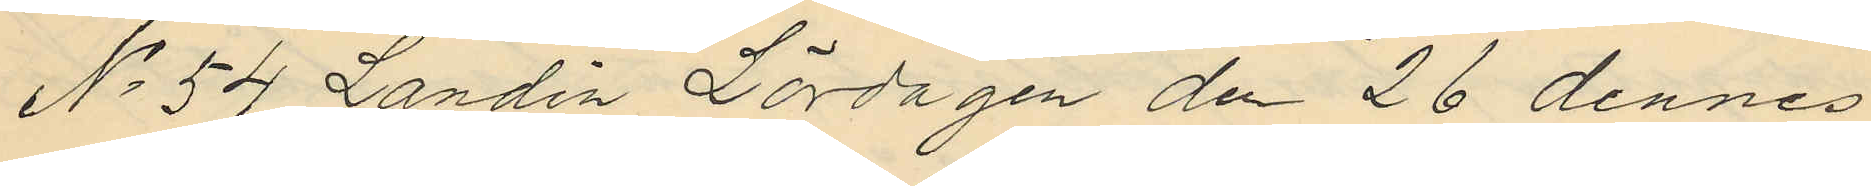No 54 Landin Lördagen de 26 dennes
